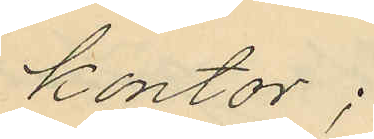kontor;
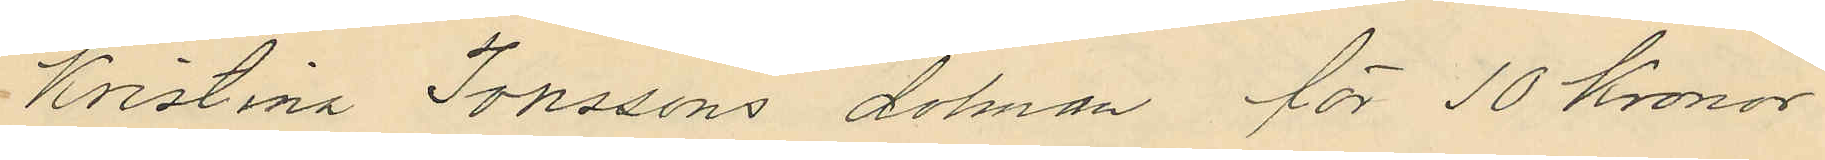Kristina Jonssons dolman för 10 Kronor
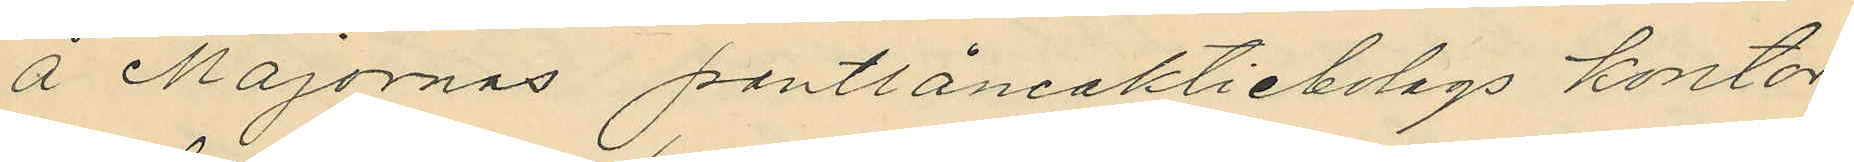å Majornas pantlåneaktiebolags kontor
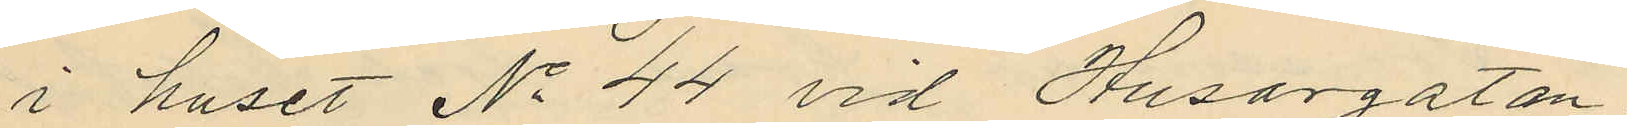i huset No 44 vid Husargatan
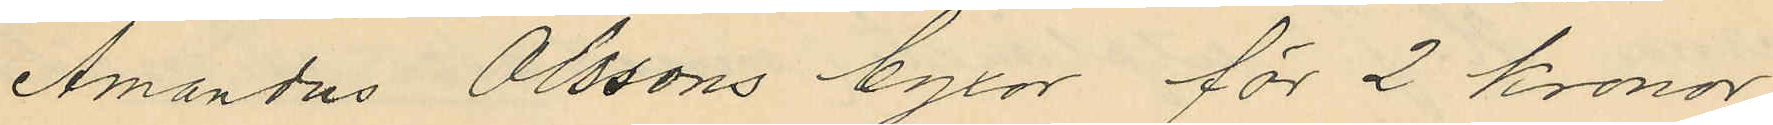Amandus Olssons byxor för 2 kronor
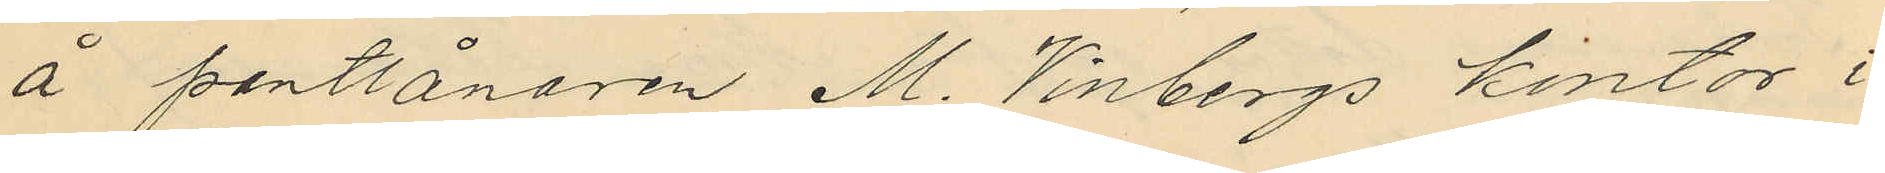å pantlånaren M. Vinbergs kontor i
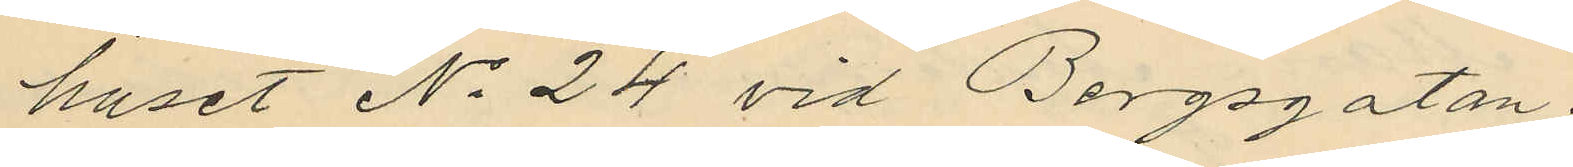huset No 24 vid Bergsgatan.
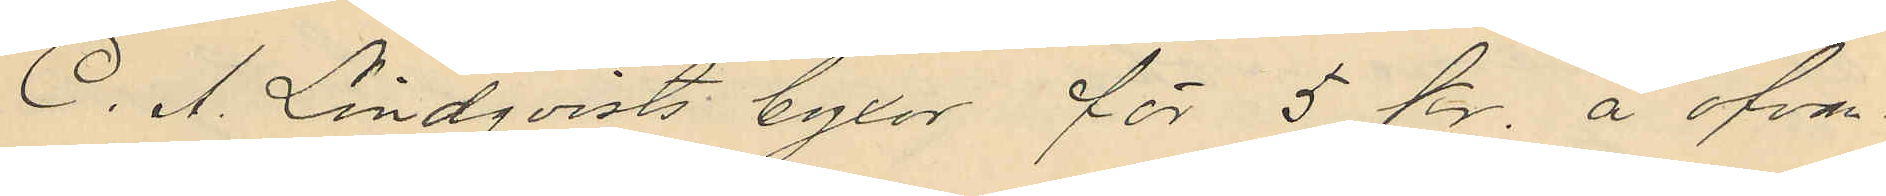C. A. Lindqvists byxor för 5 kr. å ofvan
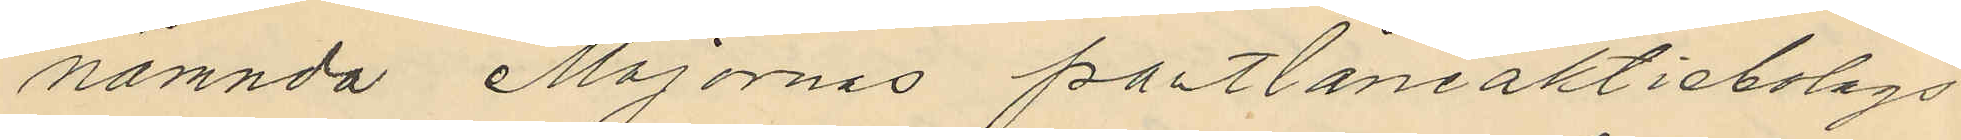nämnda Majornas pantlåneaktiebolags
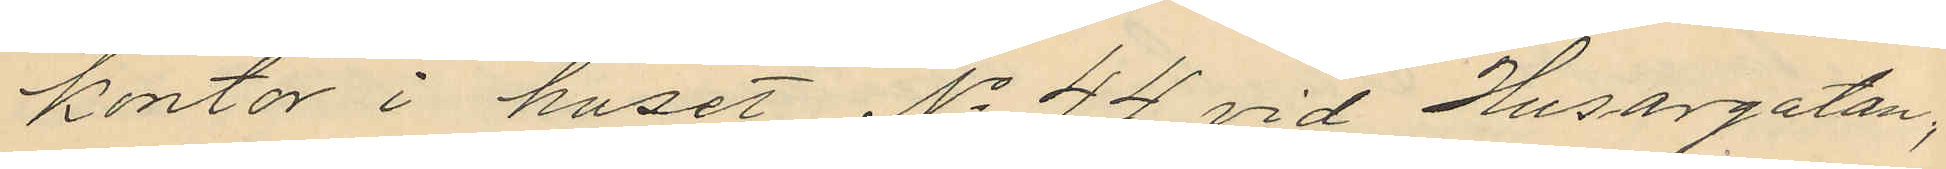kontor i huset No 44 vid Husargatan;
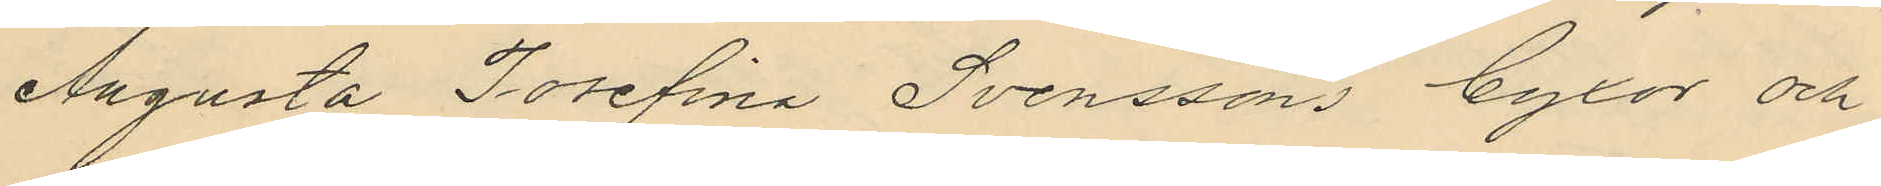Augusta Josefina Svenssons byxor och
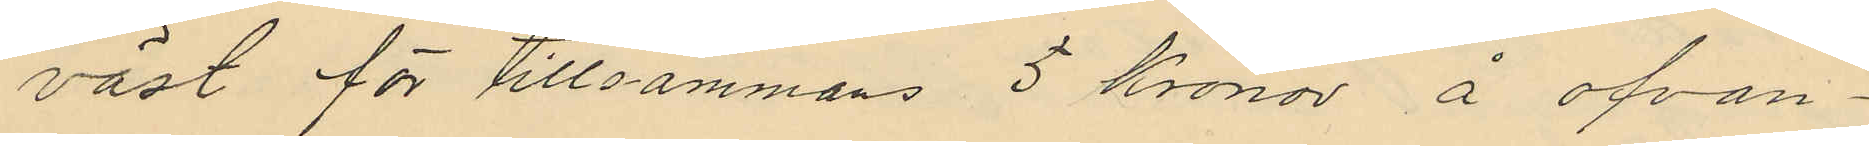väst för tillsammans 5 kronor å ofvan¬
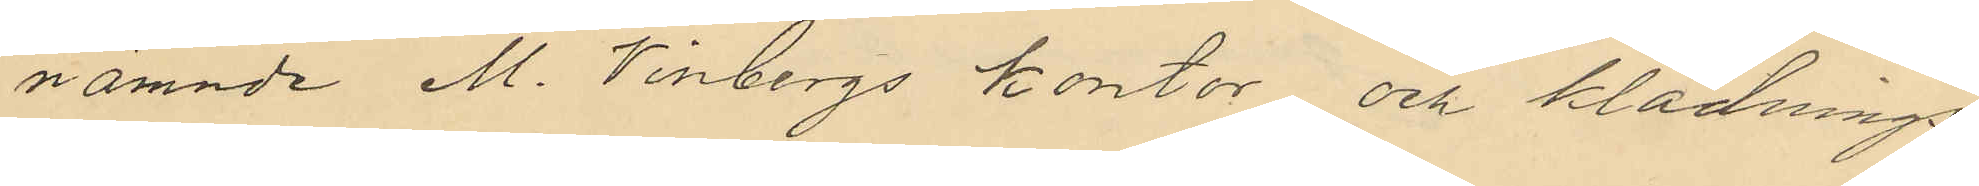nämnde M. Vinbergs kontor och klädnings¬
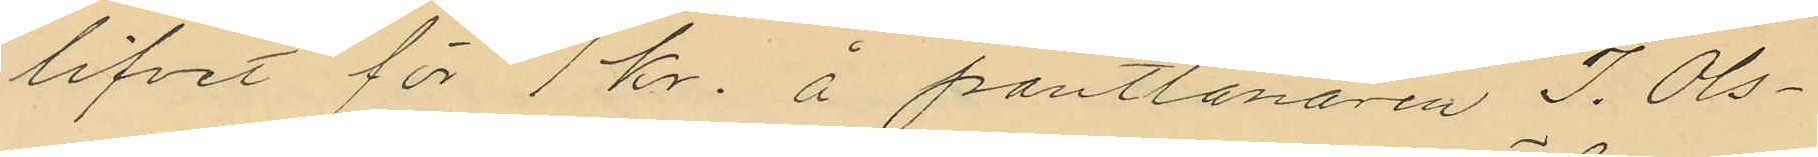lifvet för 1 kr. å pantlånaren J. Ols¬
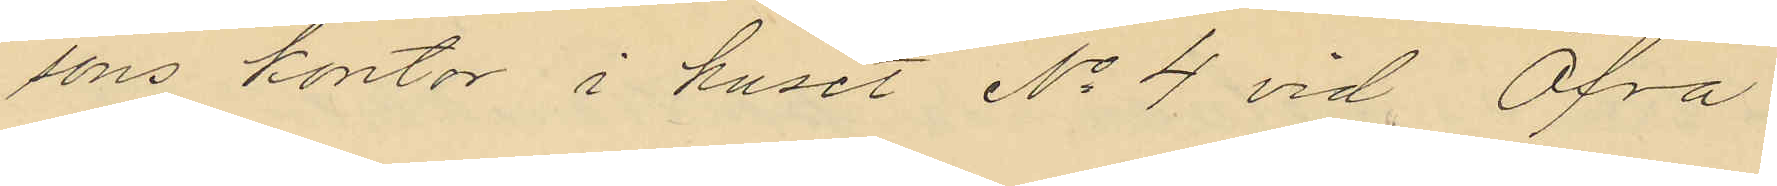sons kontor i huset No 4 vid Öfra
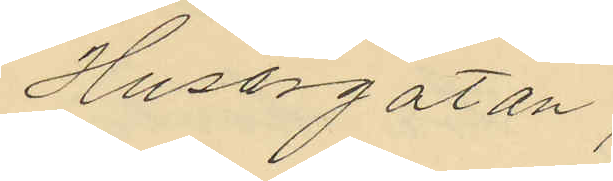Husargatan.
